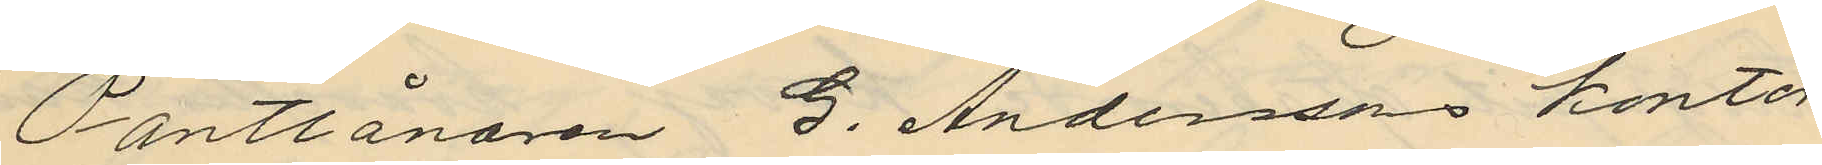Pantlånaren G. Anderssons kontor
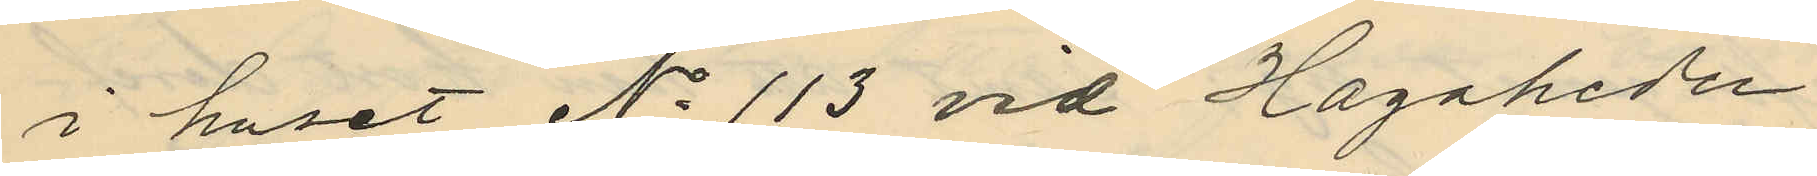i huset No 113 vid Hagaheden
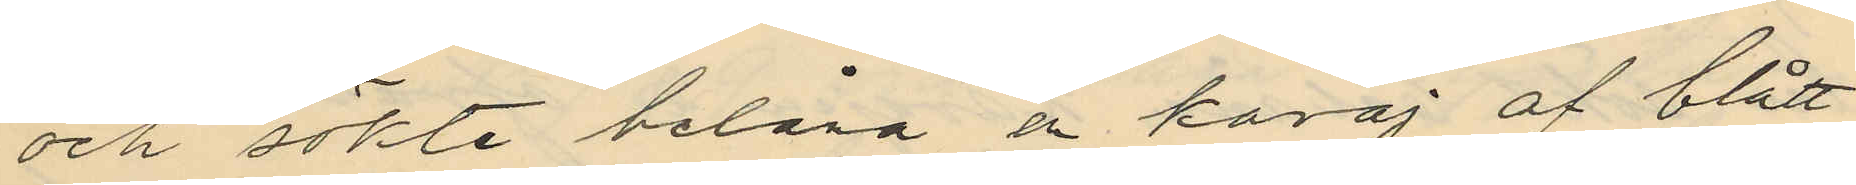och sökte belåna å kavaj af blått
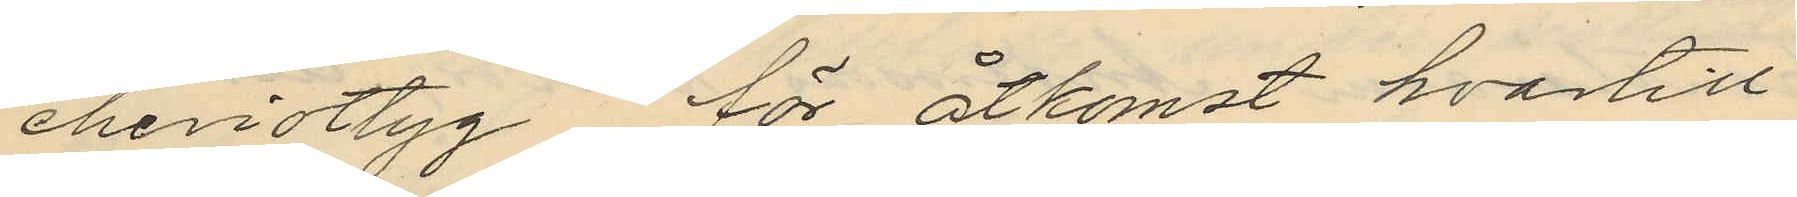cheviottyg för åtkomst hvartill
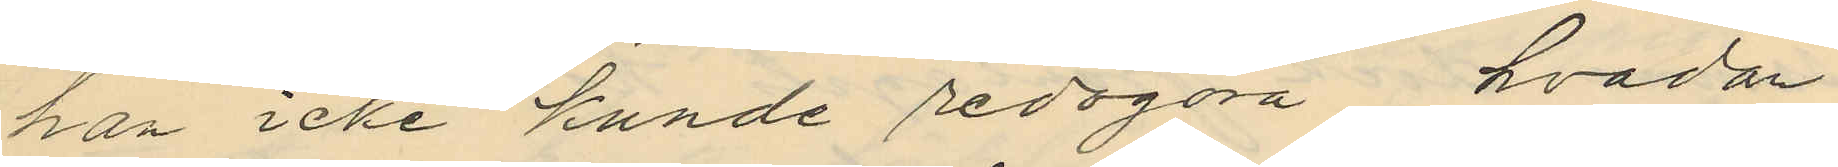han icke kunde redogöra hvadan
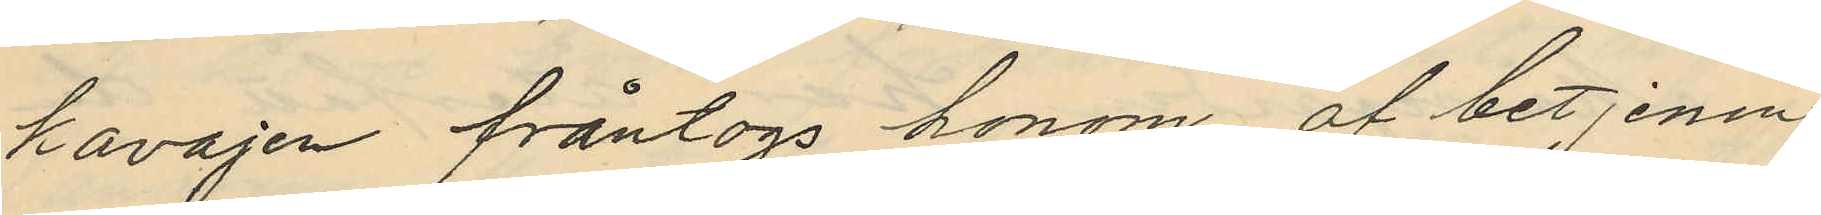kavajen fråntogs honom af betjenin¬
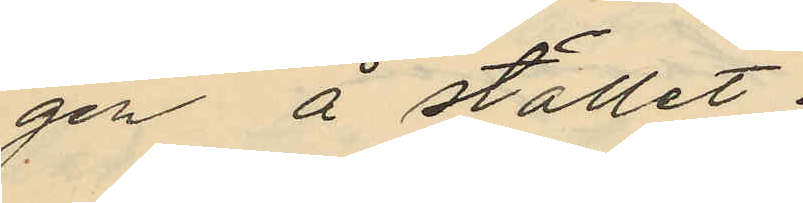gen å stället.
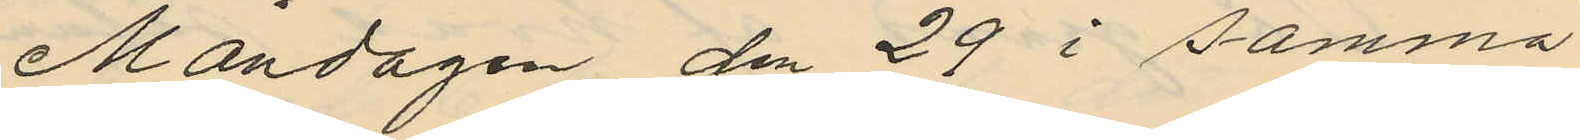Måndagen den 29 i samma
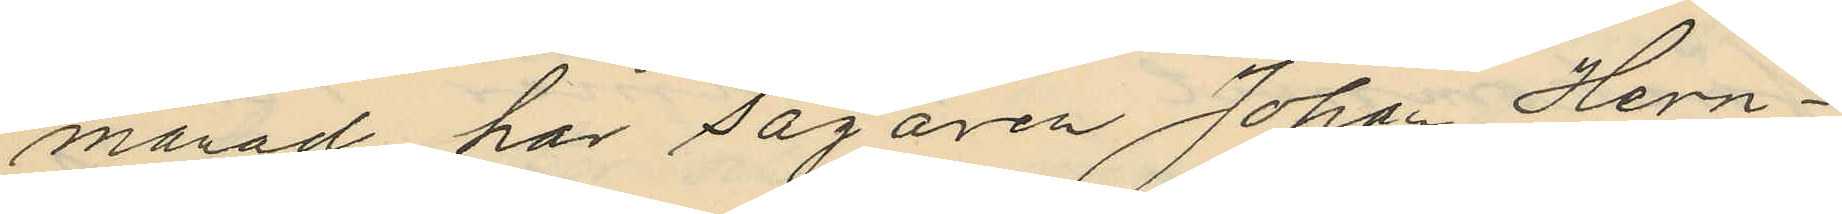månad har Sågaren Johan Hern¬
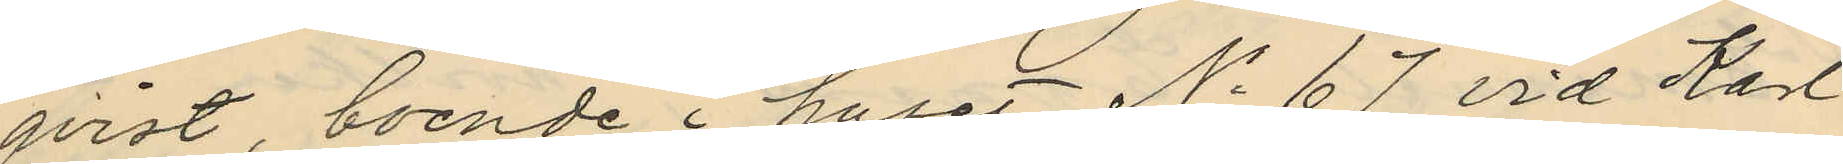qvist, boende i huset No 67 vid Karl
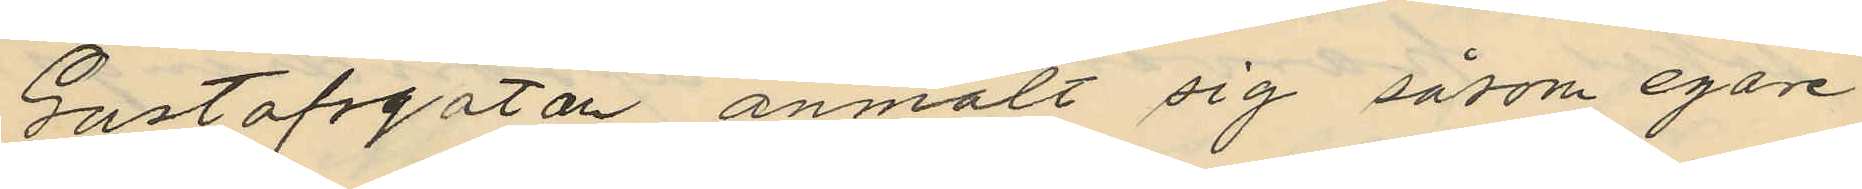Gustafsgatan anmält sig såsom egare
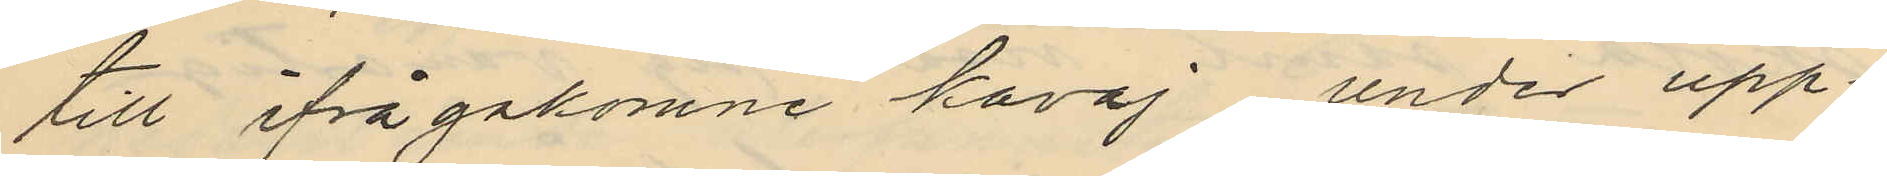till ifrågakomne kavaj under upp¬
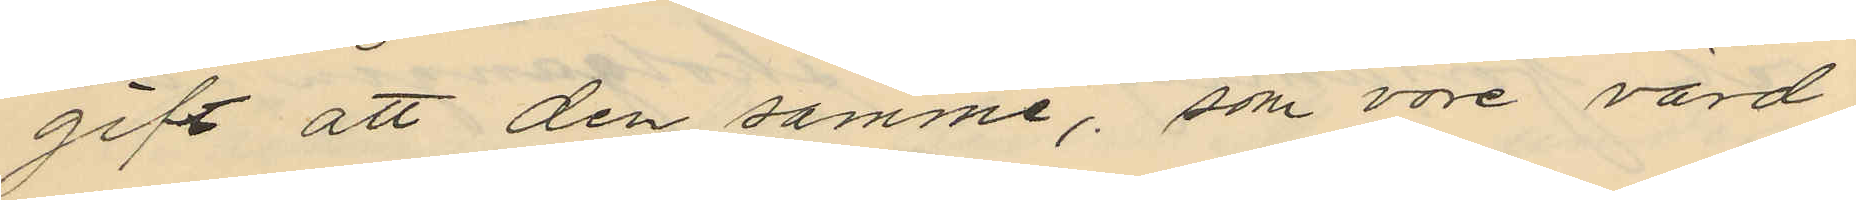gift att den samme, som vore värd
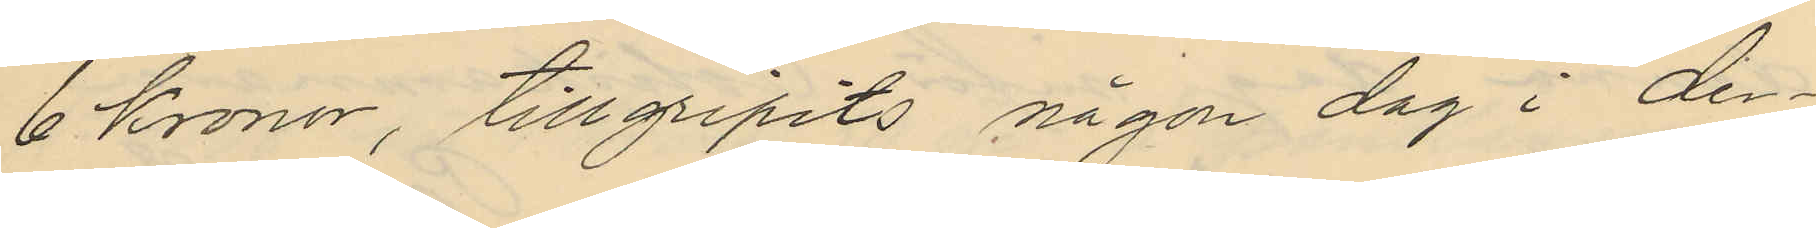6 Kronor, tillgripits någon dag i der¬
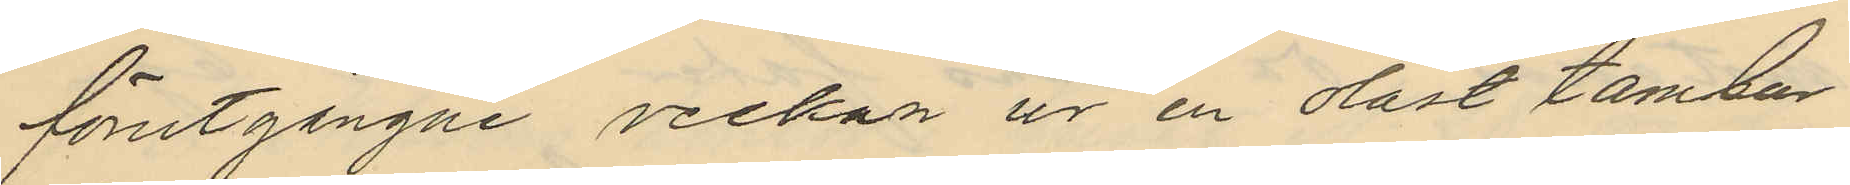förutgångne veckan ur en olåst tambur
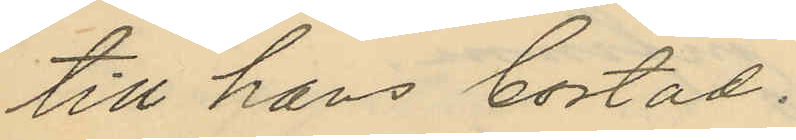till hans bostad.
